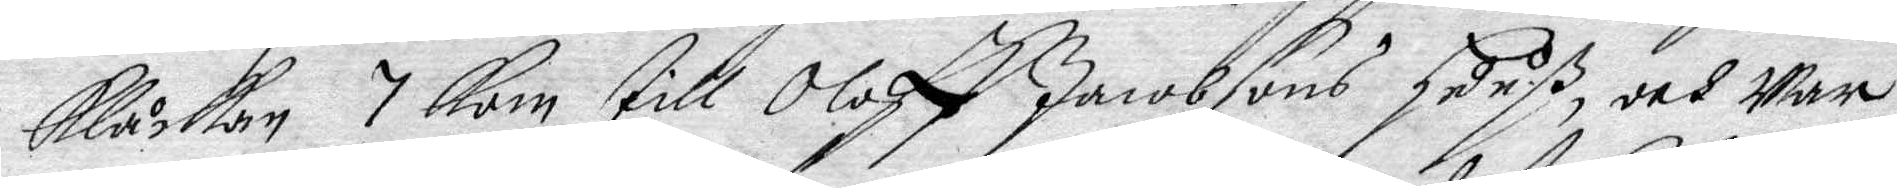Klåckan 7 kom till Oloff Jacobsons Huuß, och war
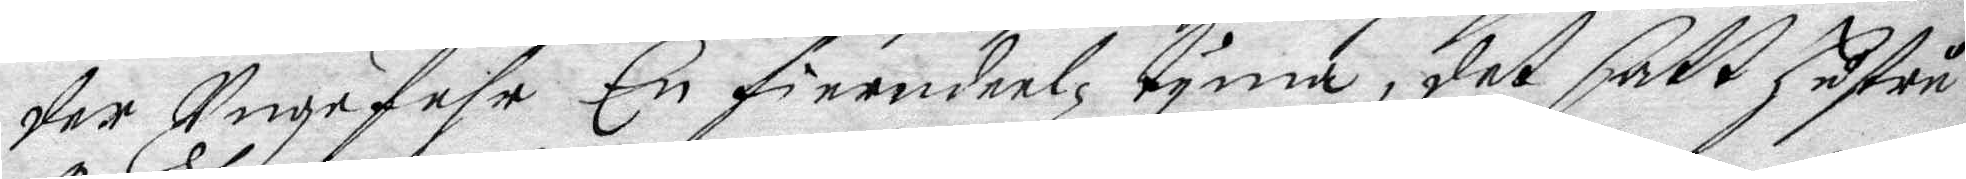der ungefehr En fierndeelz tyma, det satt hustru
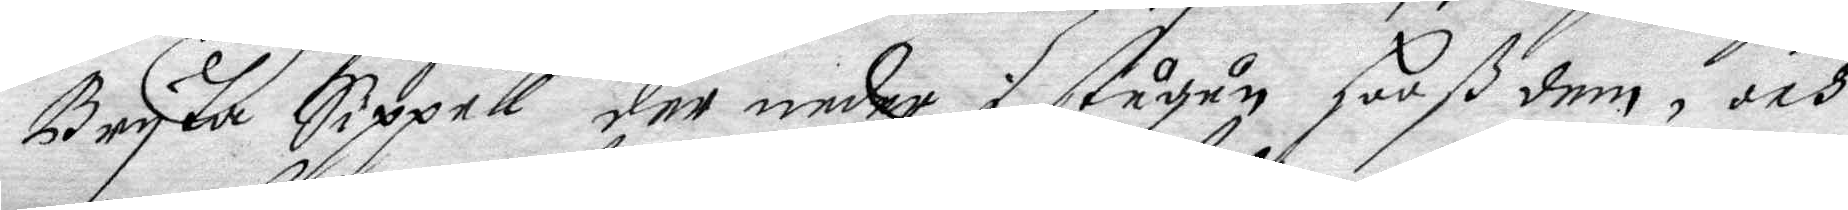Bryta Sippell der neder i stugun Hooß dem, och
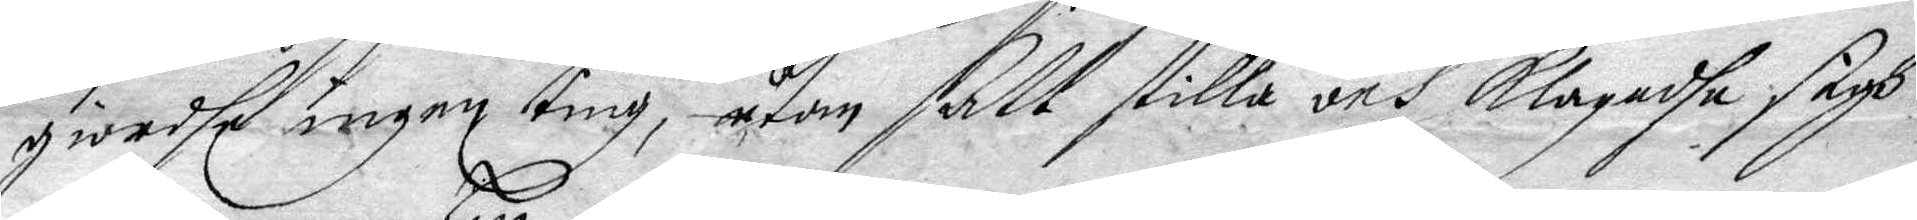giordhe ingen ting, utan satt stilla och klagadhe sigh
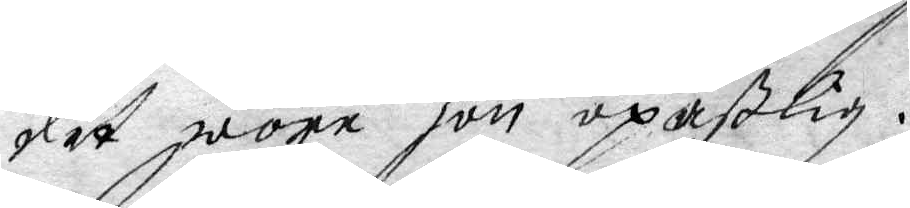det wore hon opaßlig.
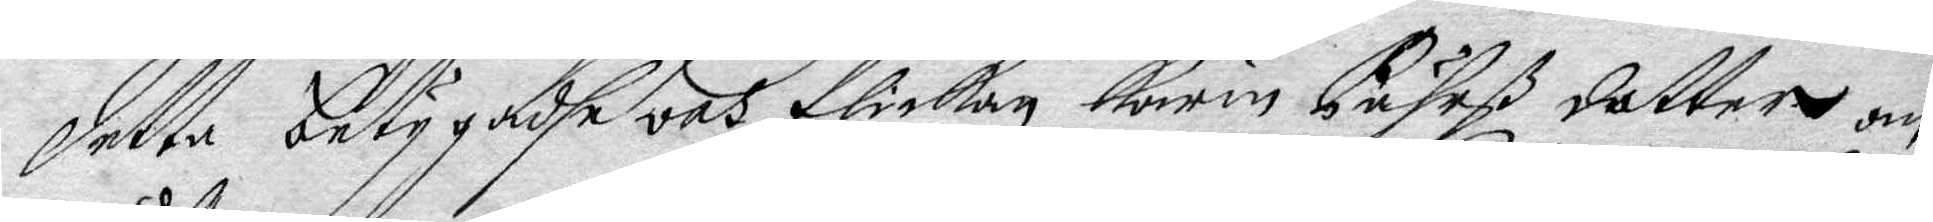detta betygadhe och flickan Karin Pährß dotter om
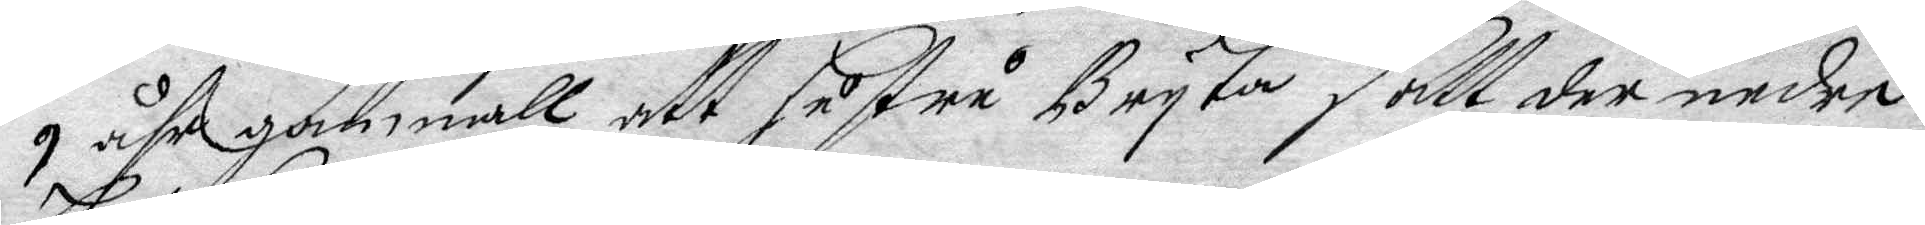9 åhr gammall, att hustru Bryta satt der neder
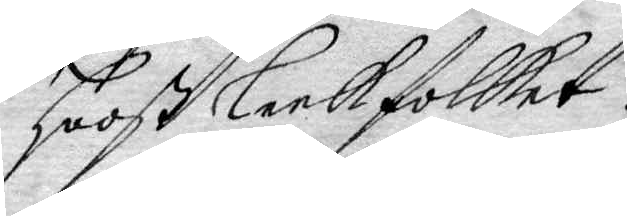Hooß Leekfolket.
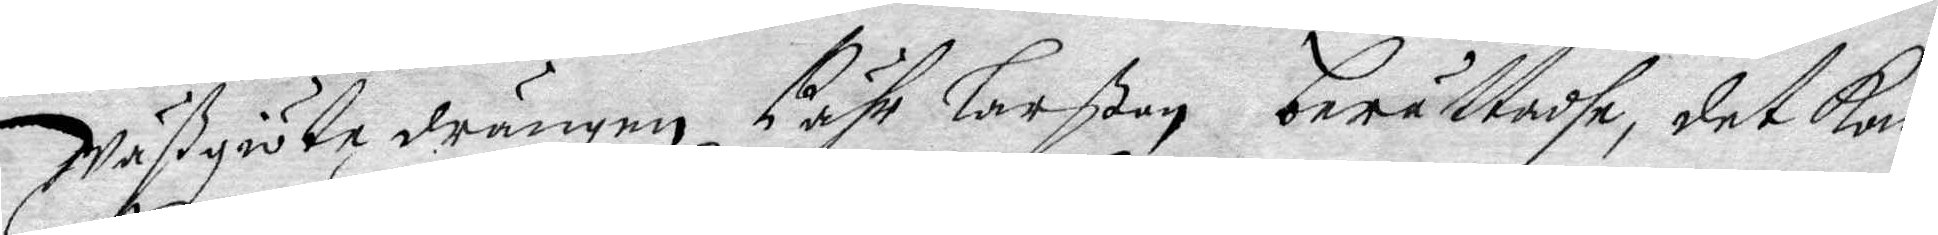Wässgiöta drängen Pähr Larßon berättadhe, det kom
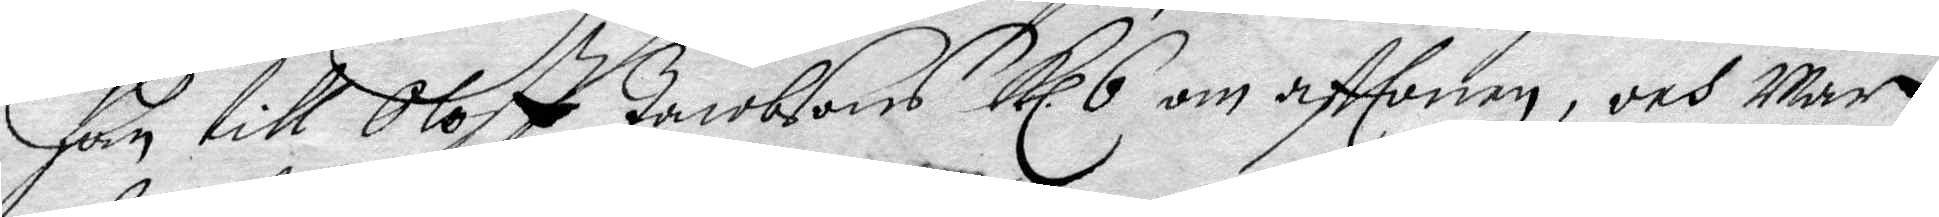han till Oloff Jacobsons Kl. 6 om afftonen, och war
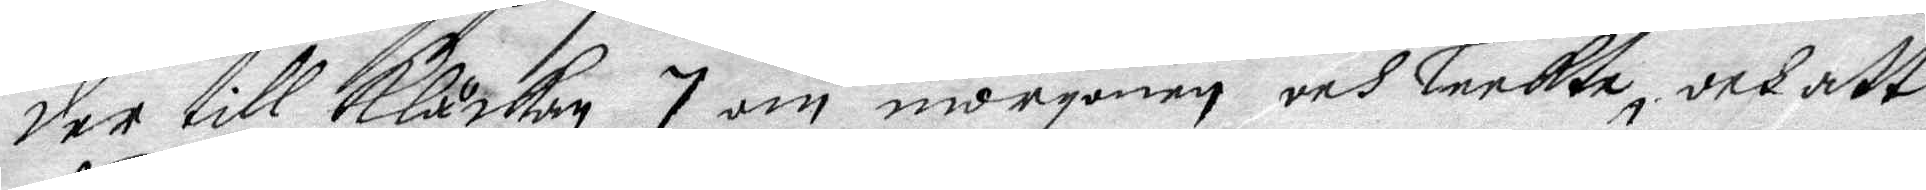der till Klåckan 7 om morgonen och leekte, och att
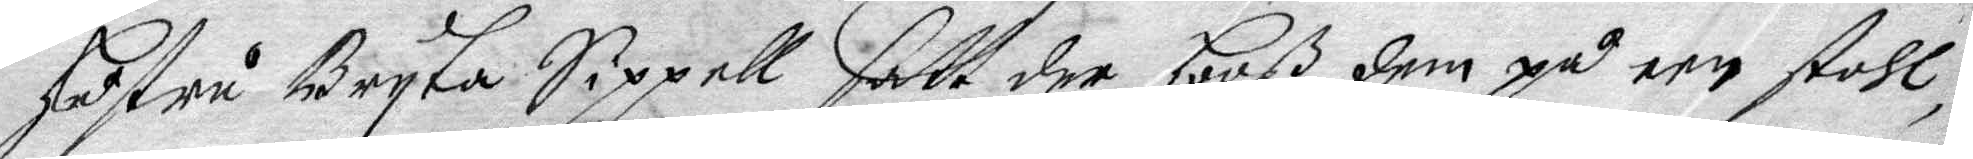Hustru Bryta Sippell satt der hoos dem på een stahl,
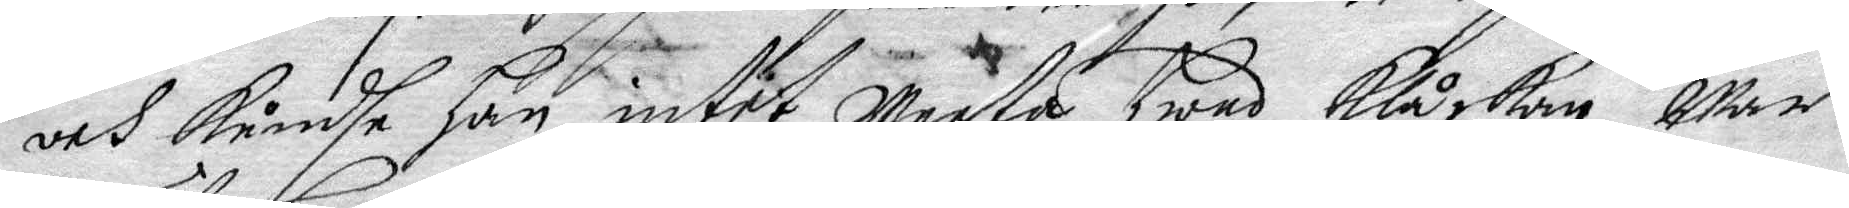och kändhe Han intet Weeta hwad klåckan war
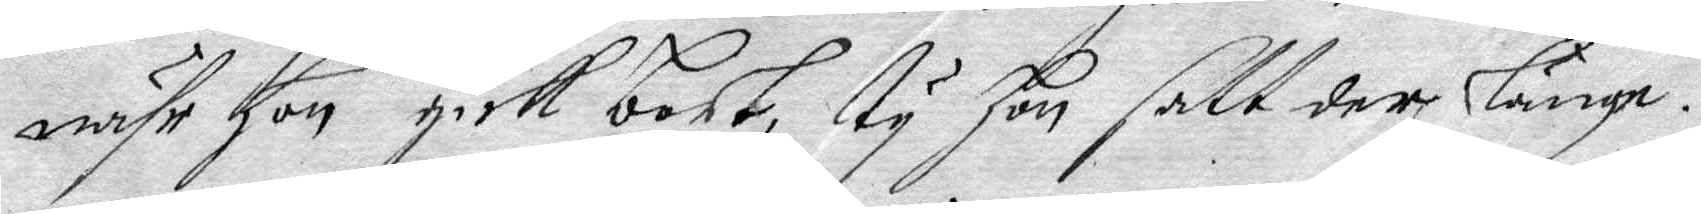nähr hon gick bort, ty hon satt der länge.
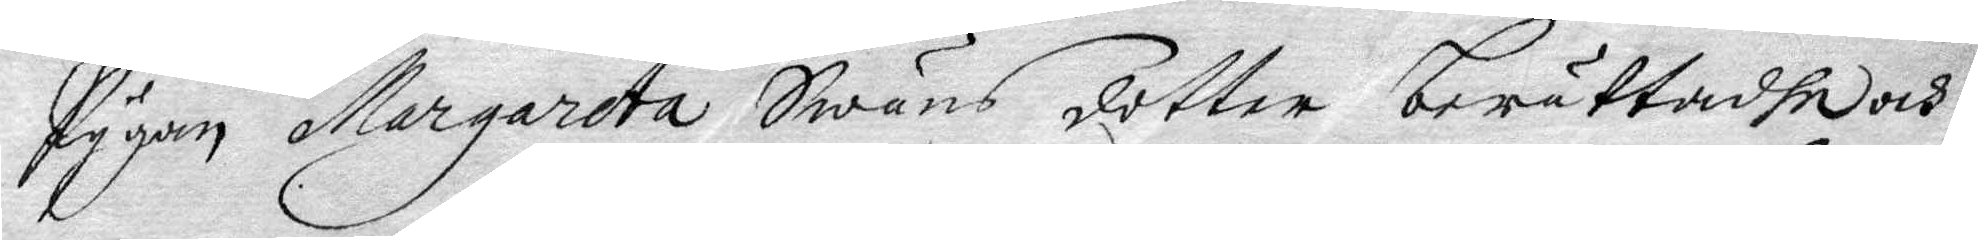Pygan Margareta Swäns dotter berättadhe och
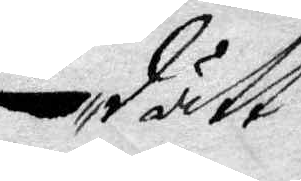dätt
